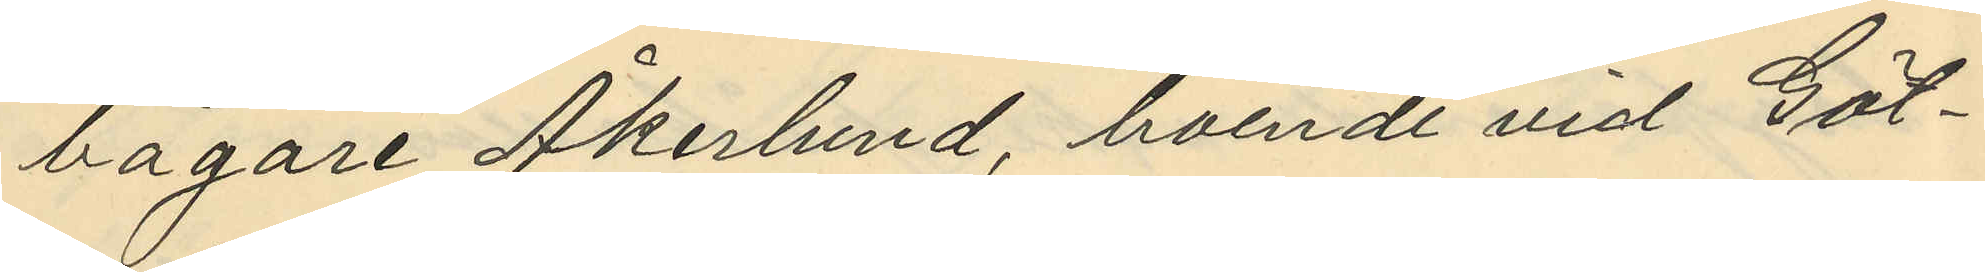bagare Åkerlund, boende vid Göt¬
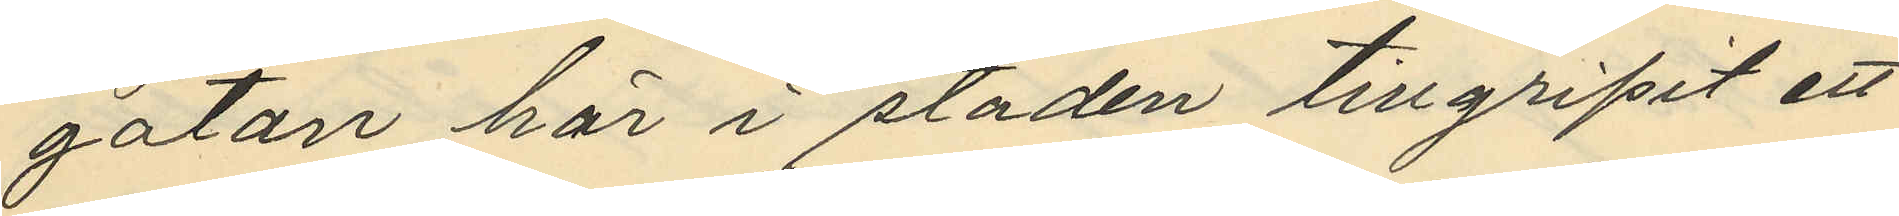gatan här i staden tillgripit ett
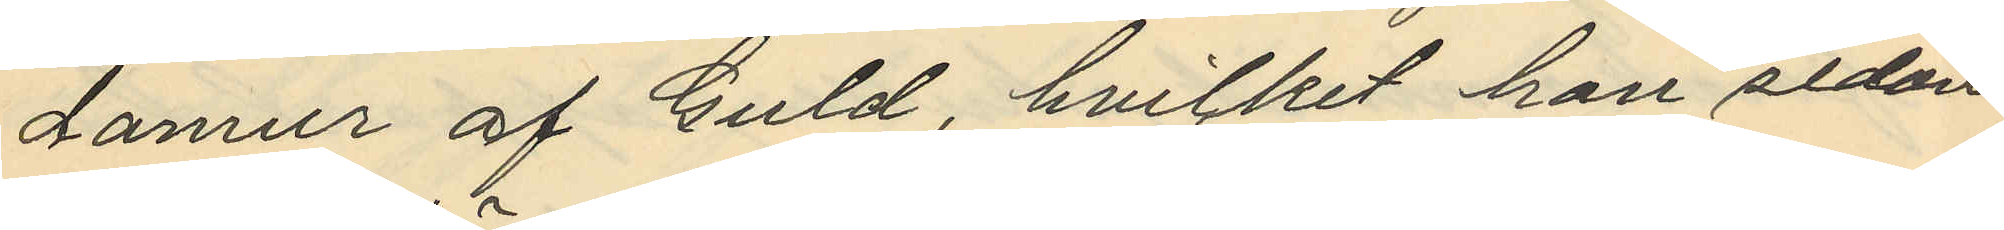damur af Guld, hvilket han sedan
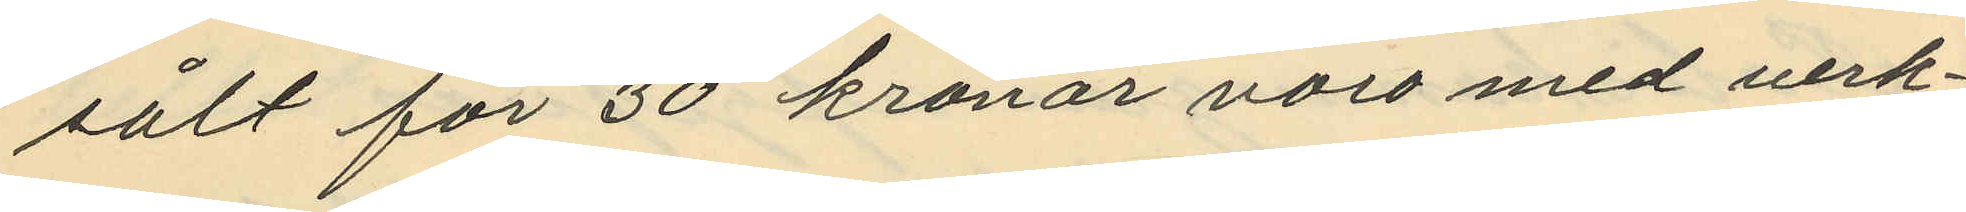sålt för 30 kronor voro med verk¬
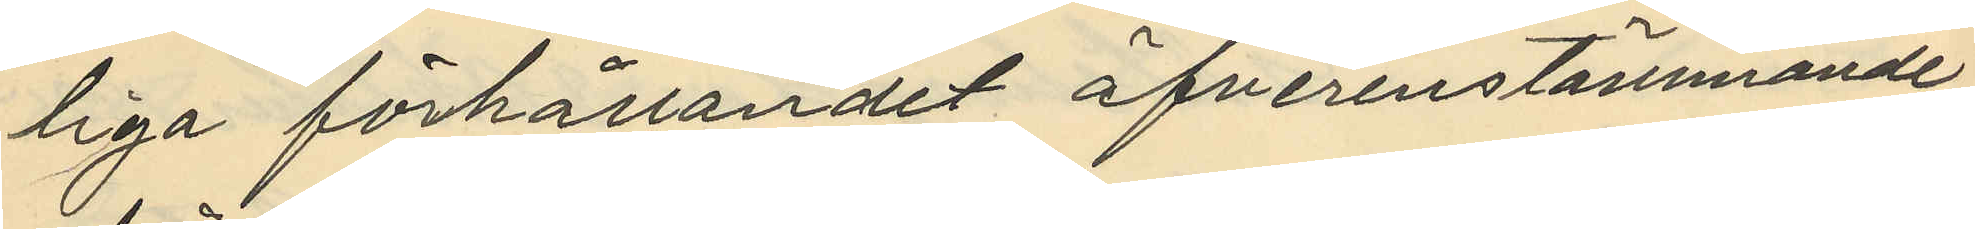liga förhållandet öfverenstämmande
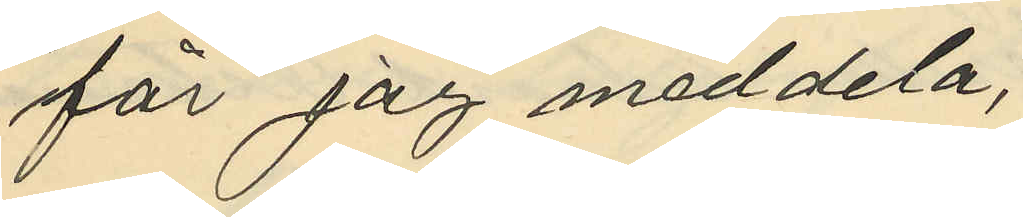får jag meddela,
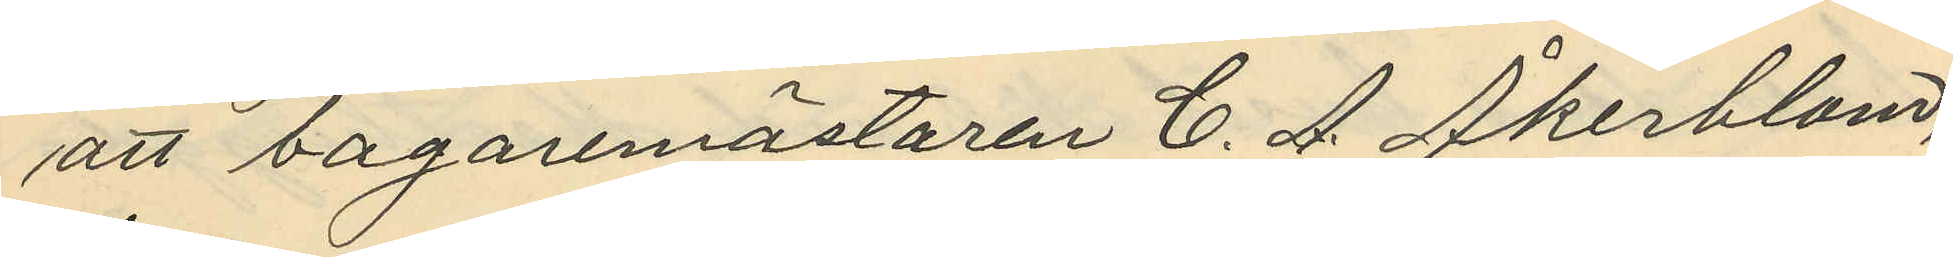att bagaremästaren C. A Åkerblom,
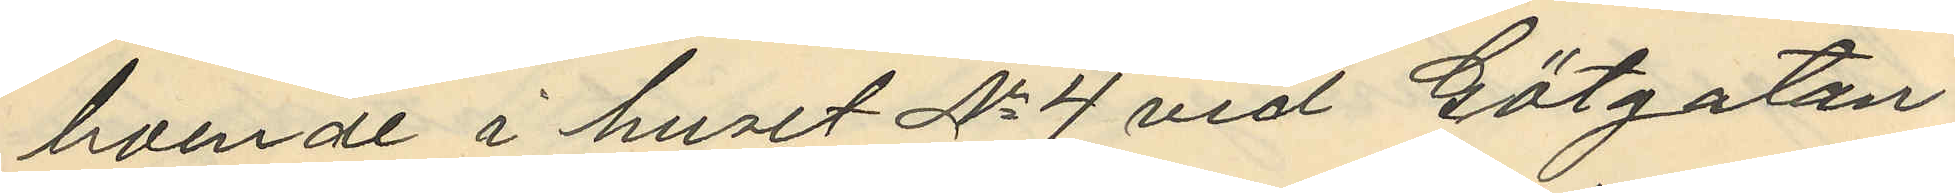boende i huset No 4 vid Götgatan
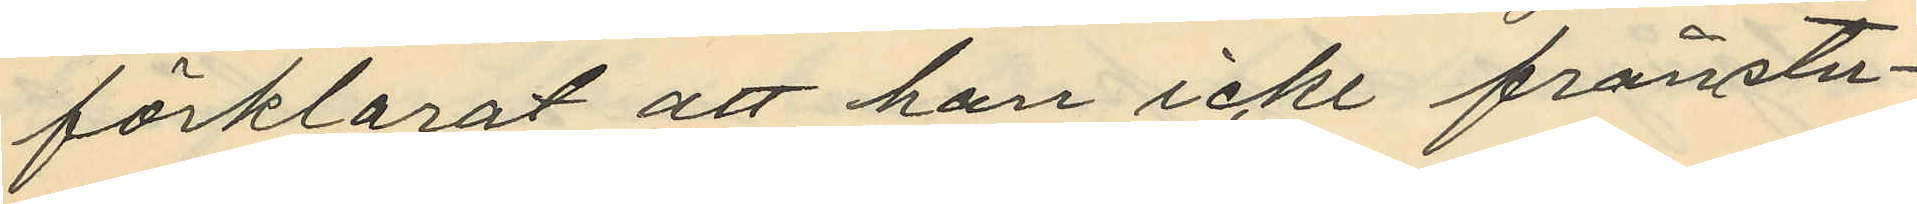förklarat att han icke frånstu¬
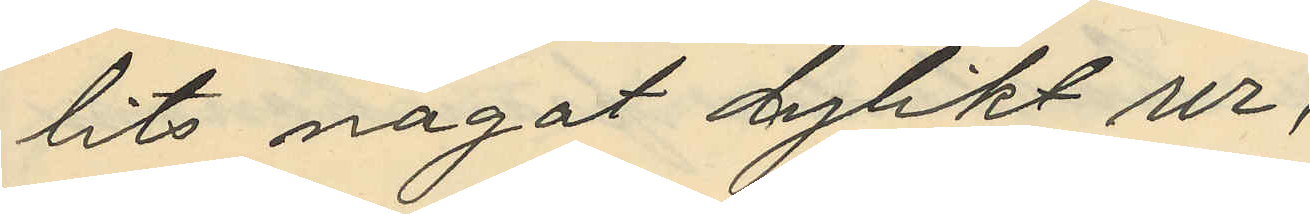lits något dylikt ur,
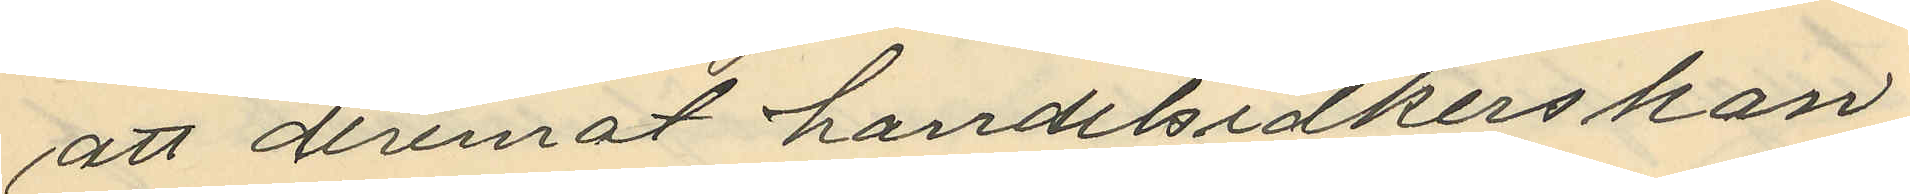att deremot handelsidkerskan
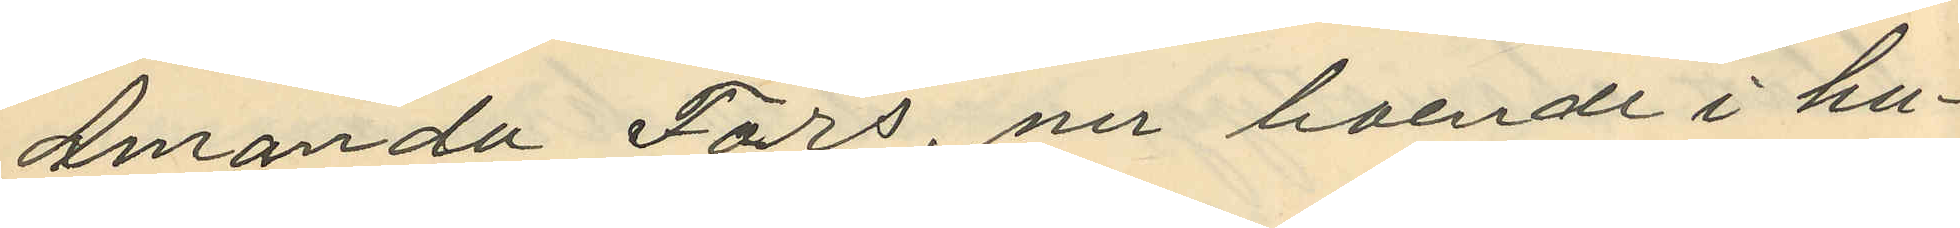Amanda Fors, nu boende i hu¬
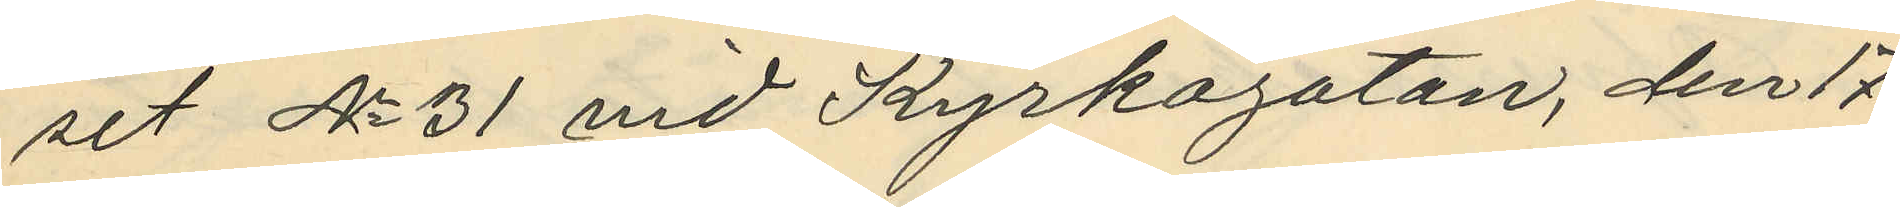set No 31 vid Kyrkogatan, den 17
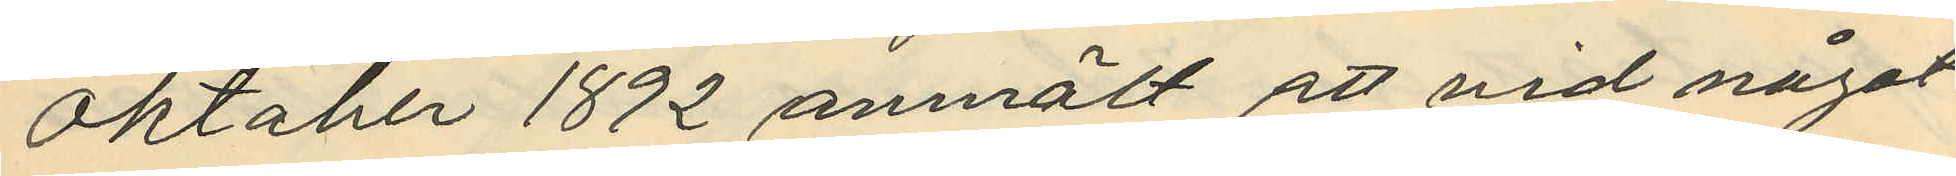Oktober 1892 anmält att vid något
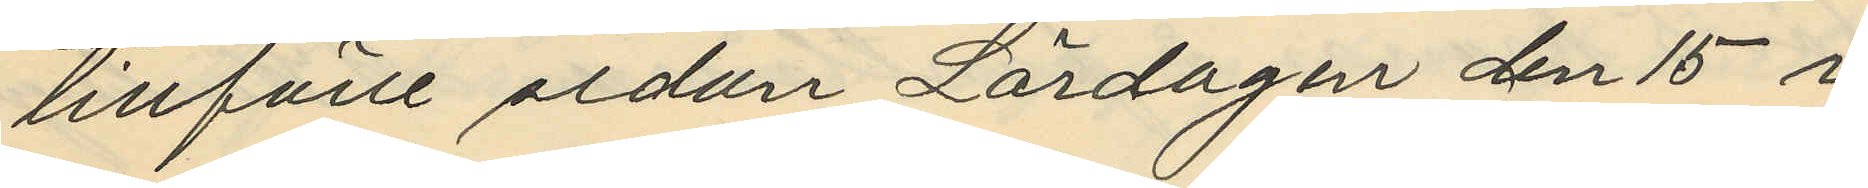tillfälle sedan Lördagen den 15 i
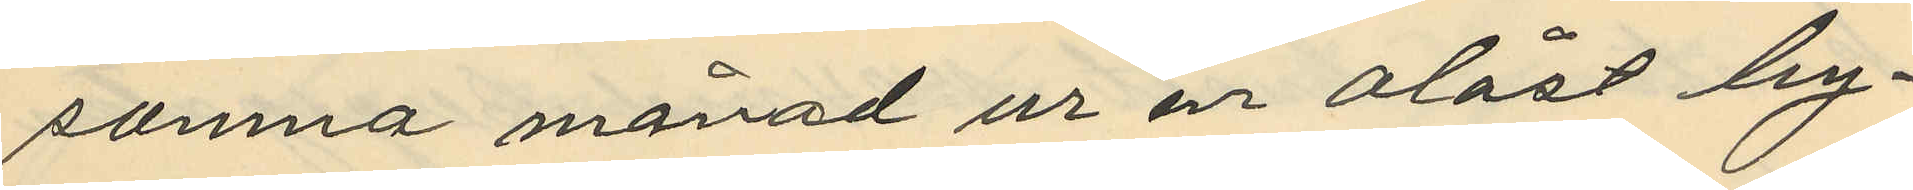samma månad ur en olåst by¬
